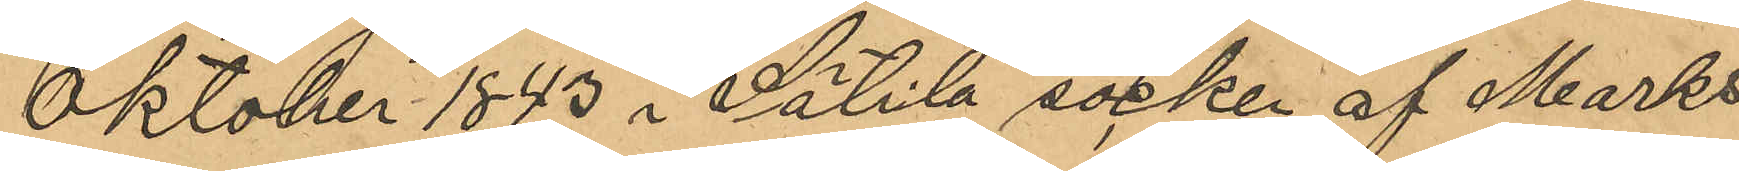Oktober 1843 i Sätila socken af Marks
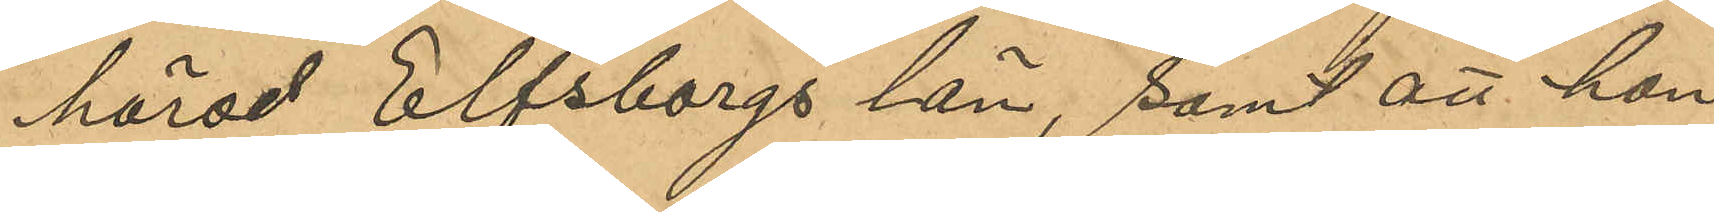härad Elfsborgs län, samt att hon
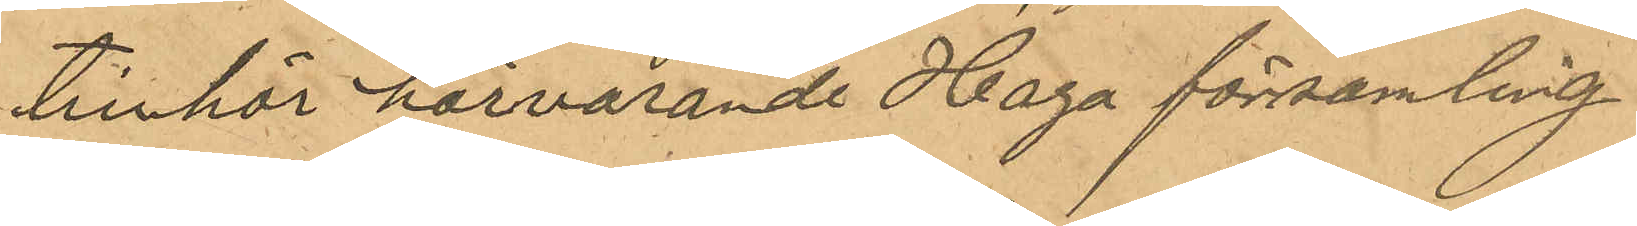tillhör härvarande Haga församling.
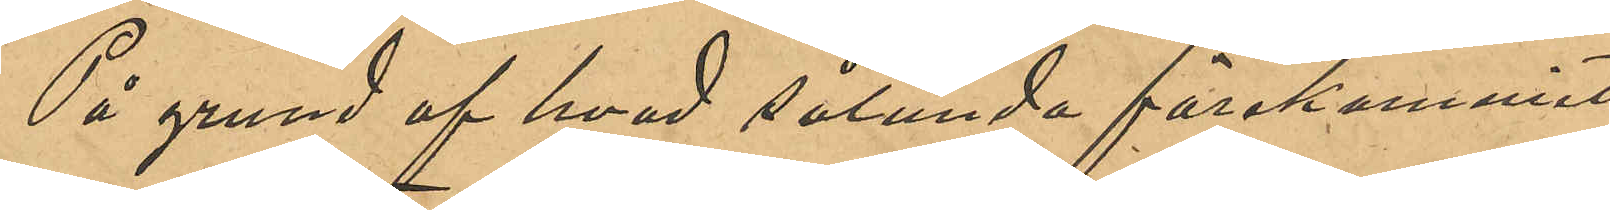På grund af hvad sålunda förekommit
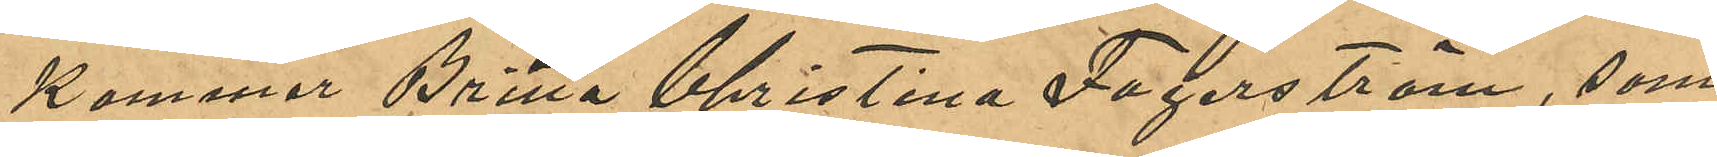kommer Britta Christina Fagerström, som
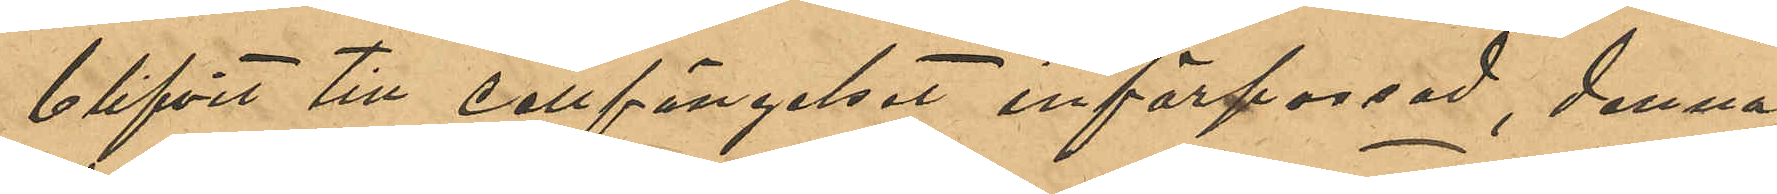blifvit till cellfängelset införpassad, denna
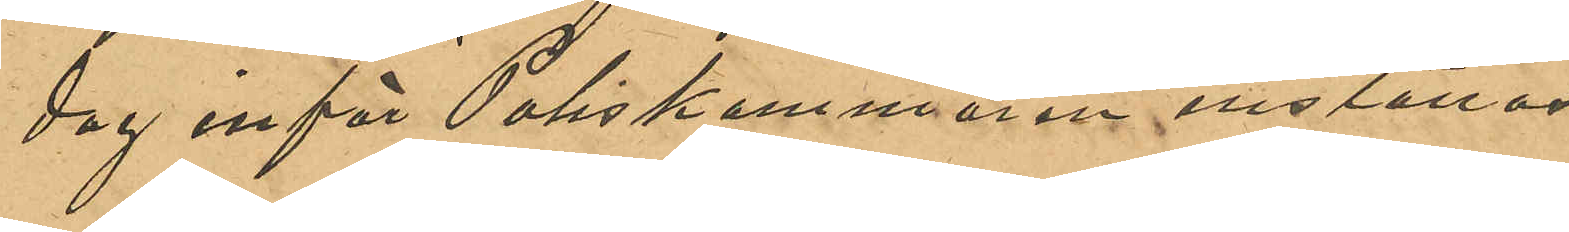dag inför Poliskammaren inställas.
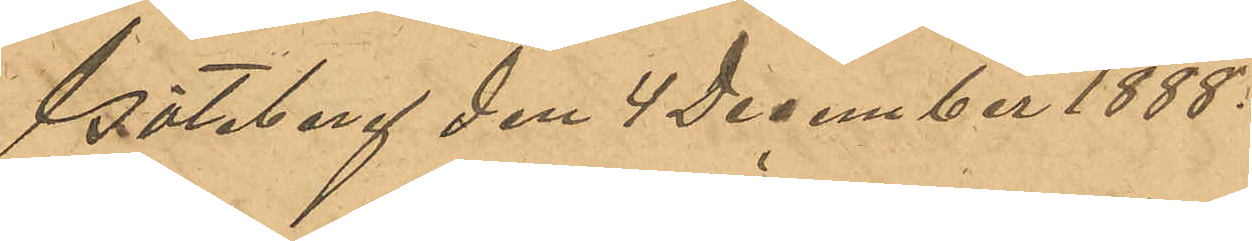Göteborg den 4 December 1888.
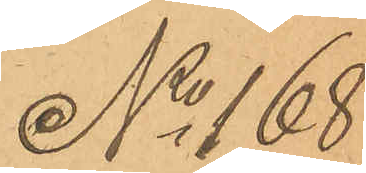No 168
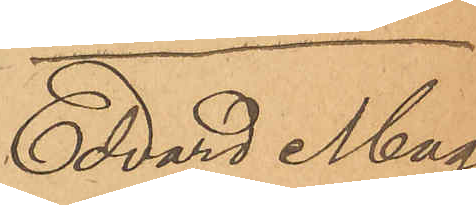Edvard Mag¬
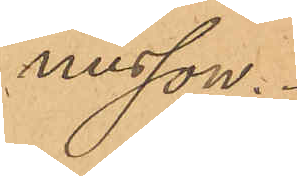nusson.
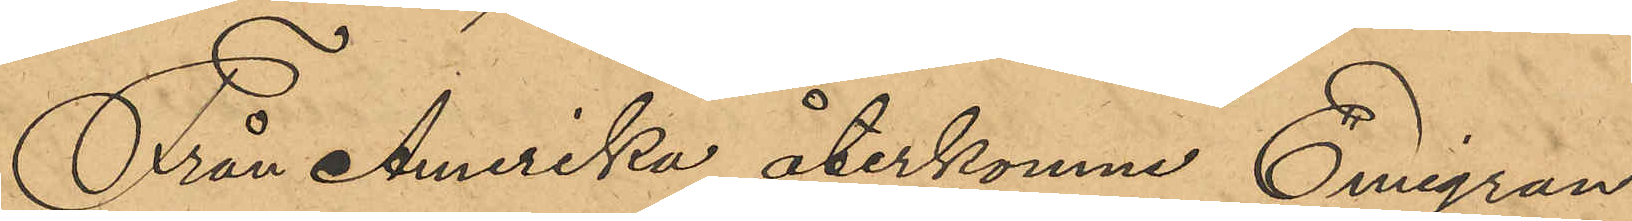Från Amerika återkomne Emigran¬
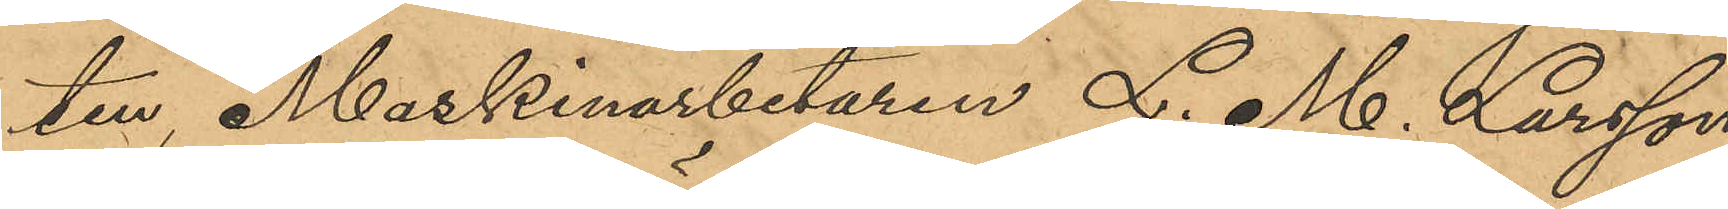ten, Maskinarbetaren L. M. Larsson
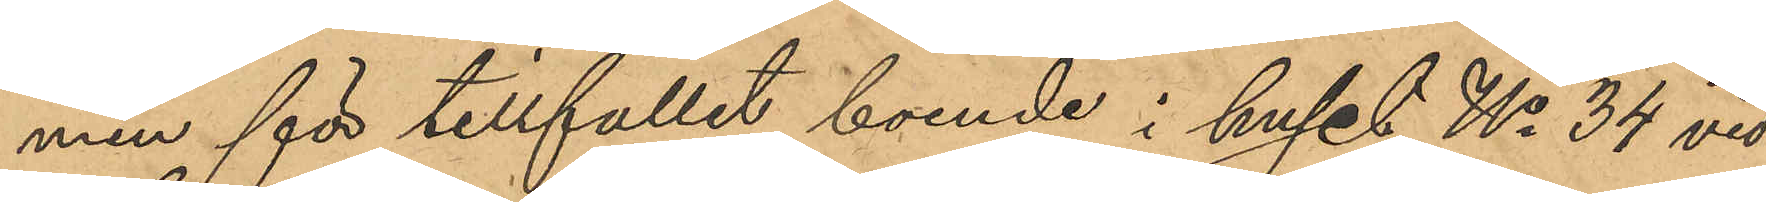men för tillfället boende i huset No 34 vid
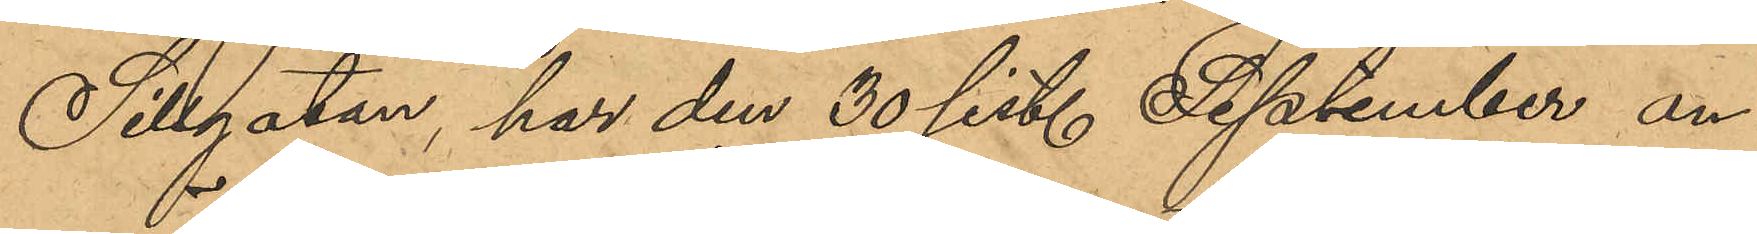Sillgatan, har den 30 sist. September an¬
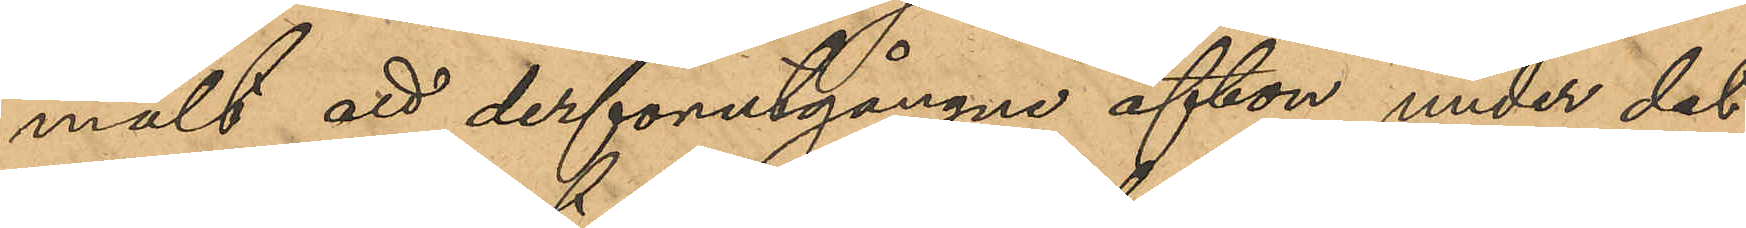mält att derförutgångne afton under det
